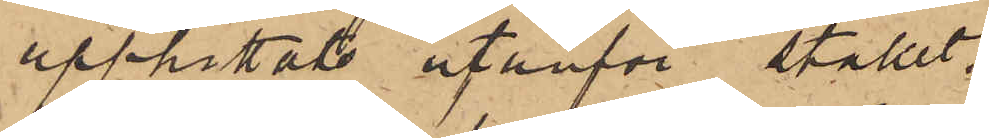upphittats utanför stallet.
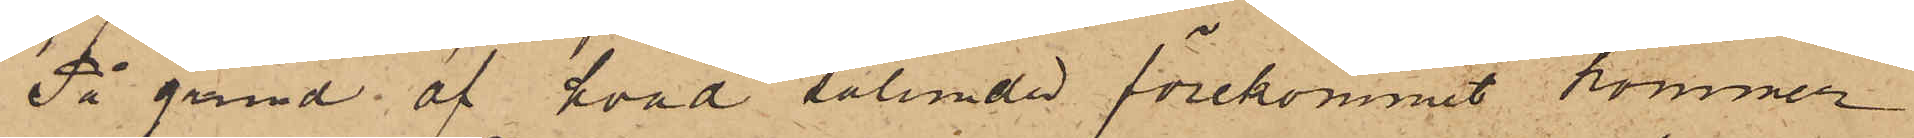På grund af hvad sålunda förekommit kommer
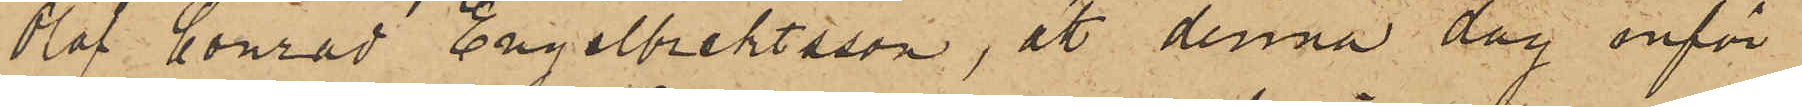Olof Conrad Engelbrektsson, att denna dag inför
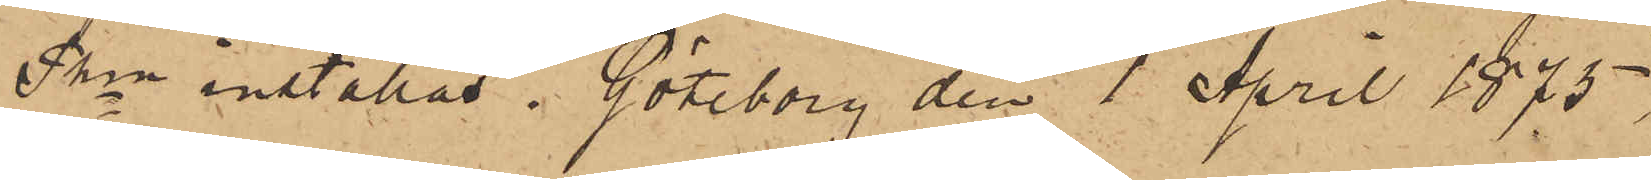Pkn inställas. Göteborg den 1 April 1875
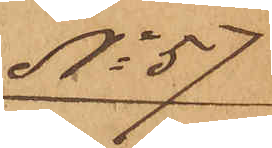No 57
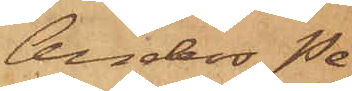Anders Pe¬
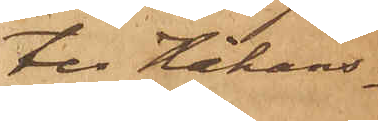ter Håkans¬
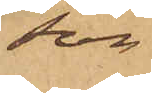son
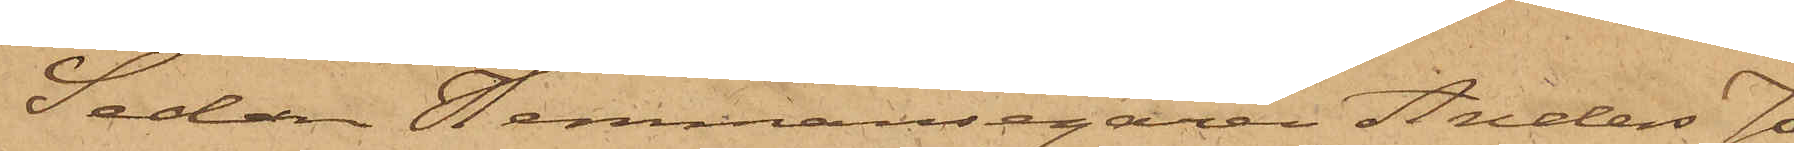Sedan Hemmansegaren Anders Jo¬
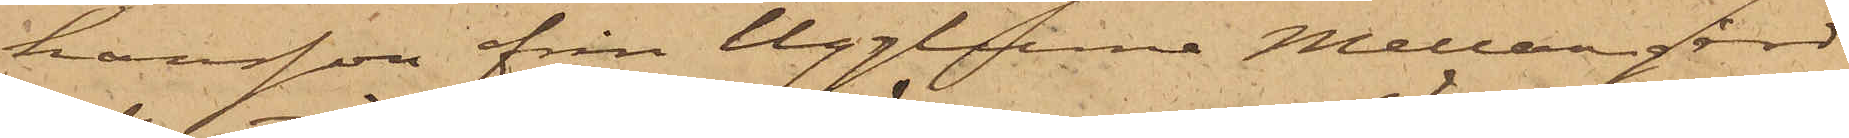hansson från Ugglume Mellangård
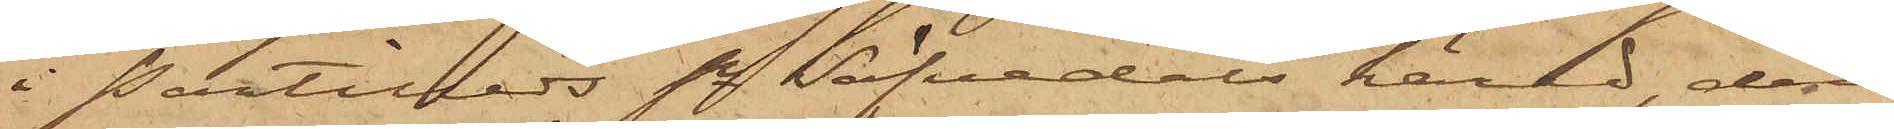i Partilleds sn Säfvedals härad den
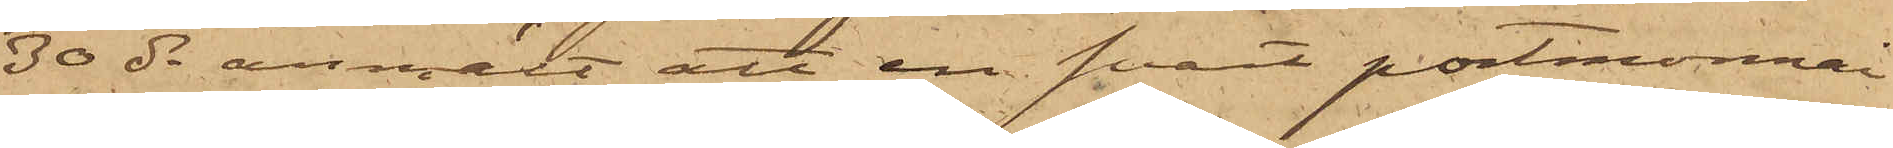30 ds anmält att en svart portmonnai
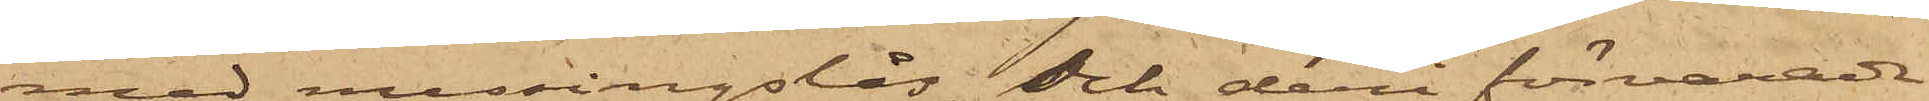med messingslås och deri förvarade
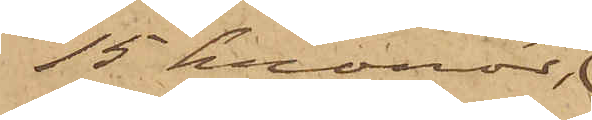15 kronor,
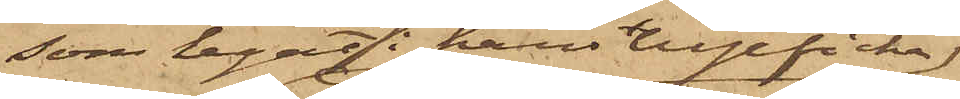som legat i hans byxficka,
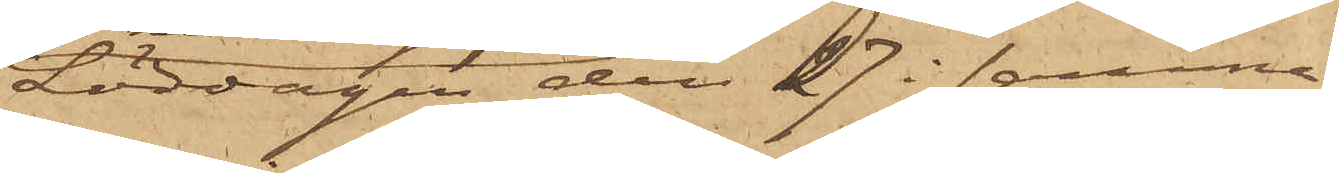Lördagen den 27 i samma
